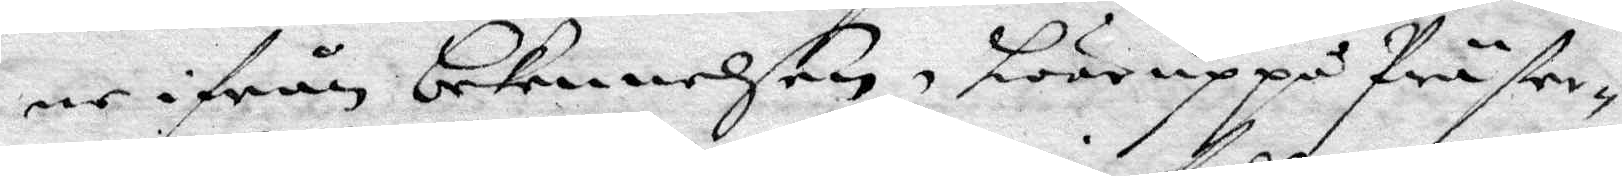ne ifrån bekennelsen, hwar uppå Präster¬
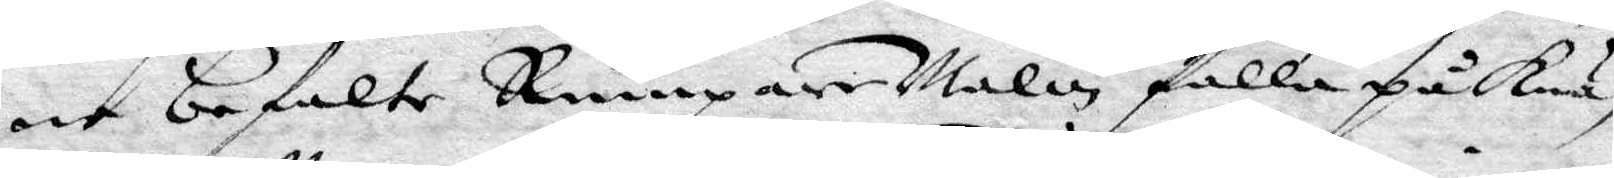ne befalte Rumpare Malin falla på Knä¬
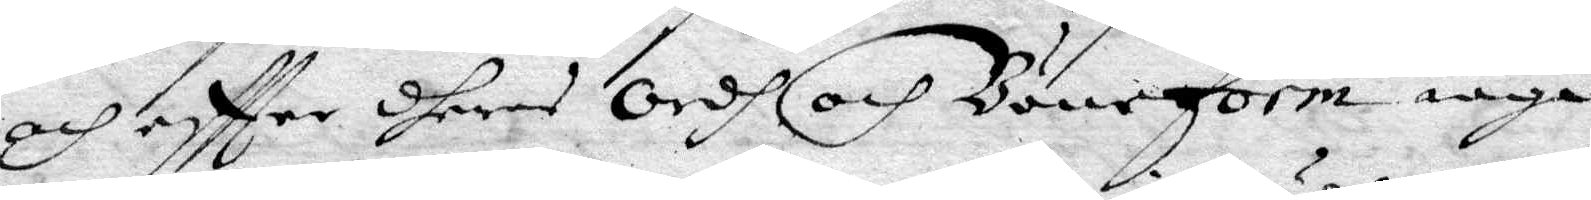och eftter dheras Ordh och Böneform iaga
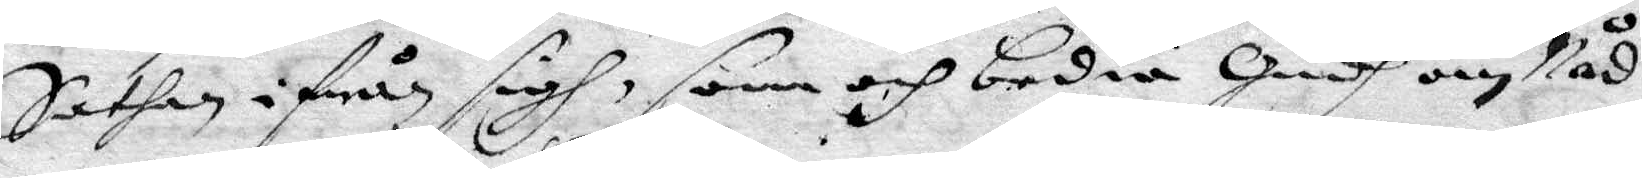Sathan ifrån sigh, som och bedia Gudh om Nåd
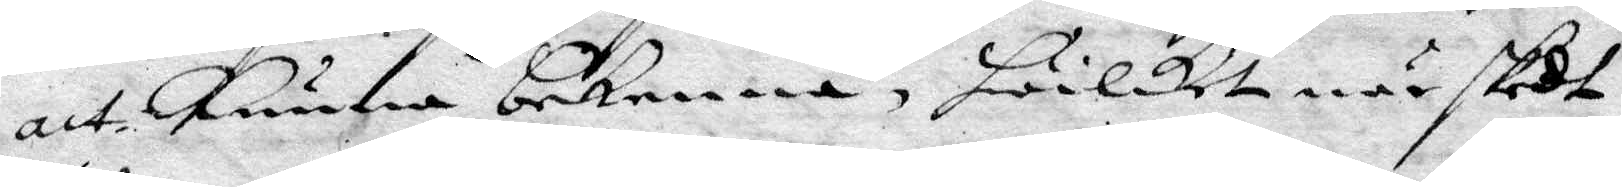att kunna bekenna, hwilket när skedt
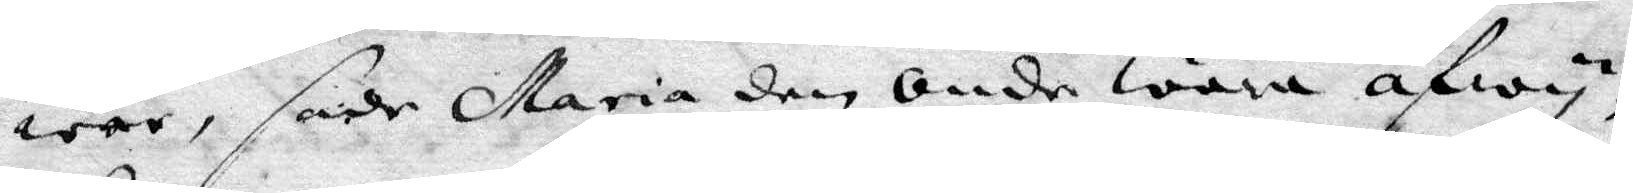war, sade Maria den Onde wara afwy¬
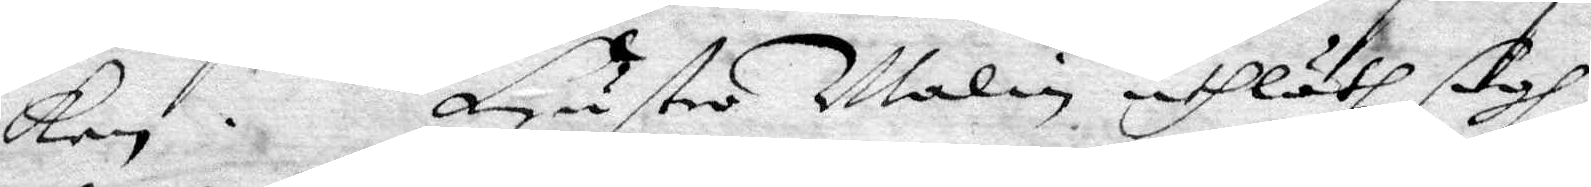ken. Hustru Malin uthlåth sigh
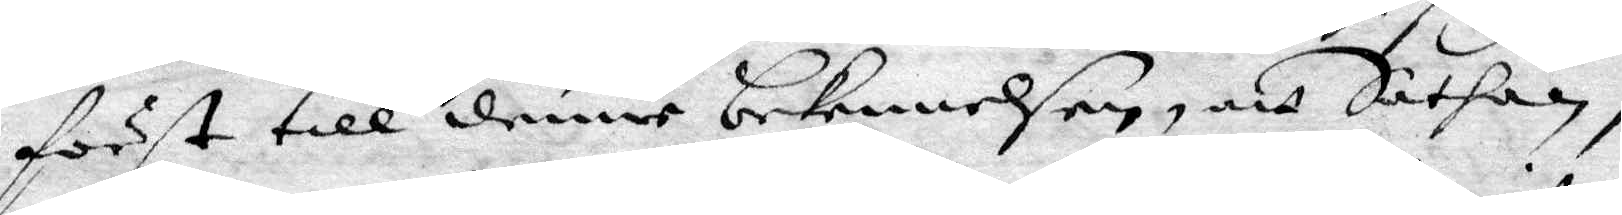först till denne bekennelsen, att Sathan,
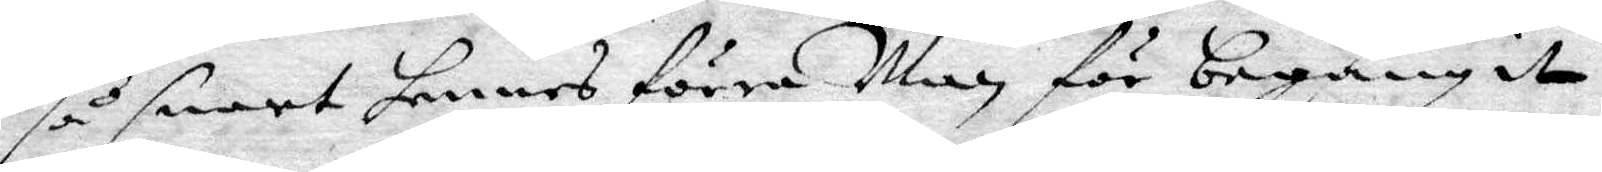så snart hennes förre Man för begånget,
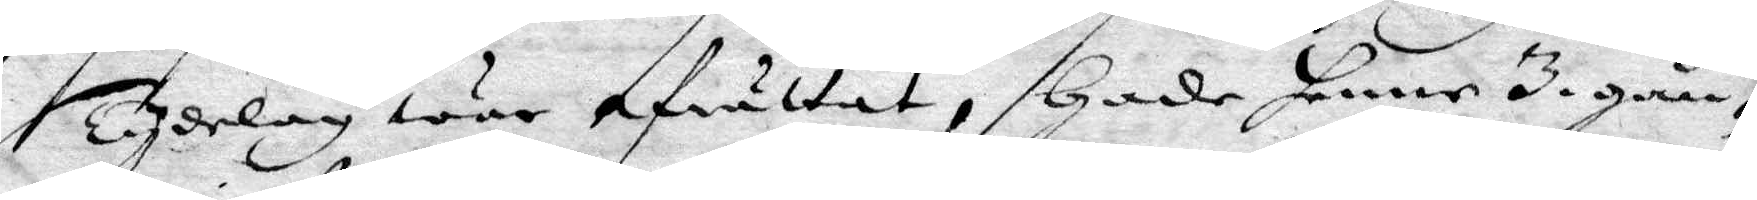Tydelag war afrättat, Hade henne 3 gån¬
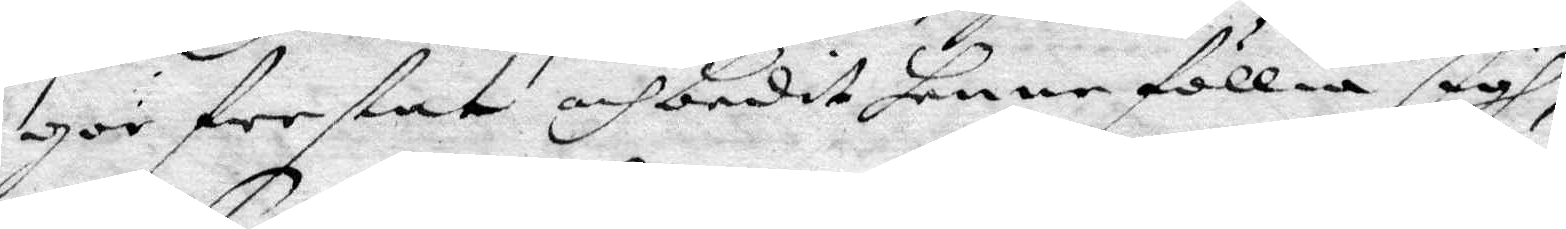gor frestat och budit henne föllia sigh,
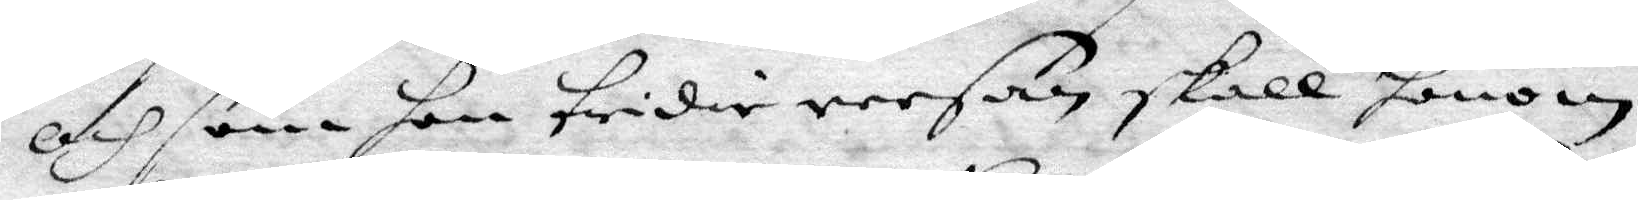och som hon tridie reesan skall honom
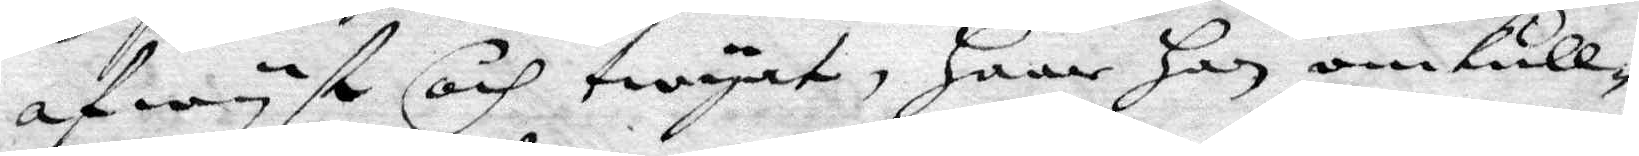afwyst och twyat, Haar Han omkull¬
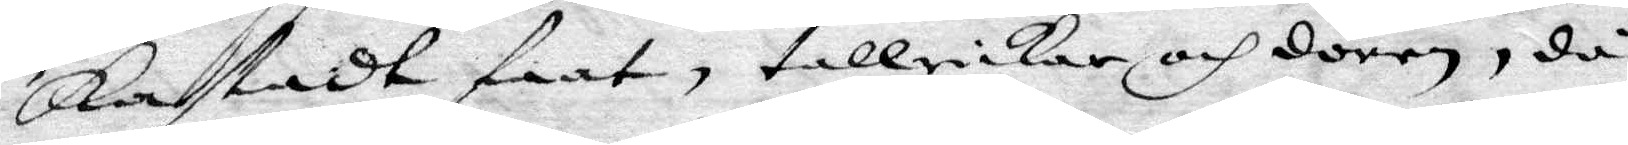Kastadt faat, tallrickar och dören, då
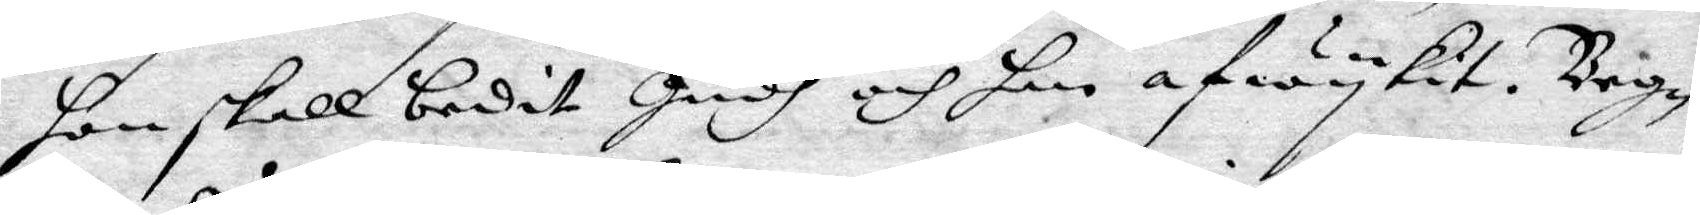hon skall bedit Gudh och han afwykit. Begg¬
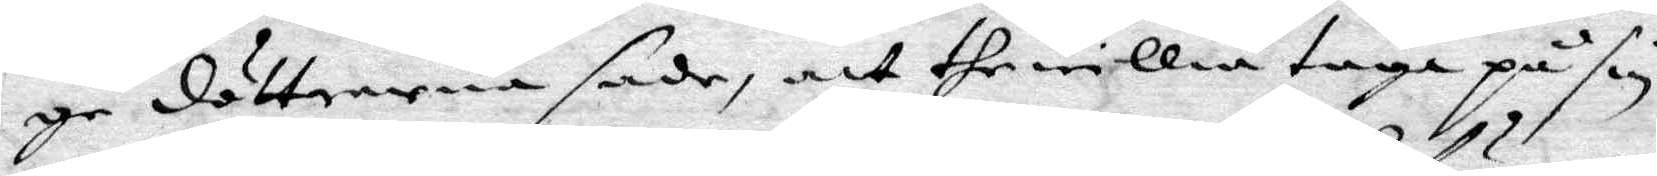ge döttrarna sade, att the willia taga på sin
